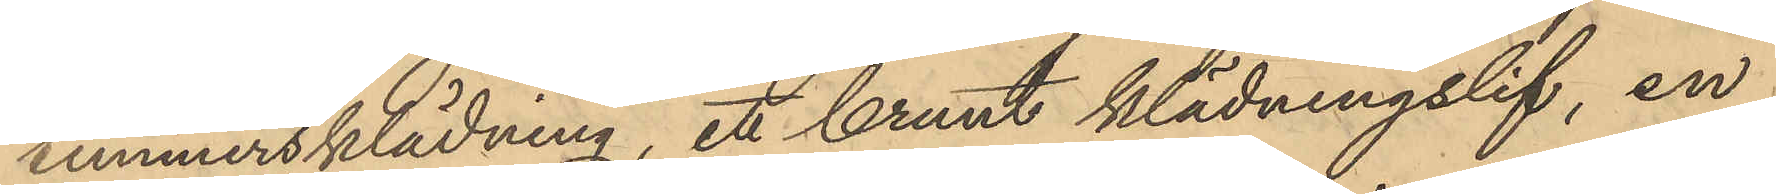timmersklädning,ett brunt klädningslif, en
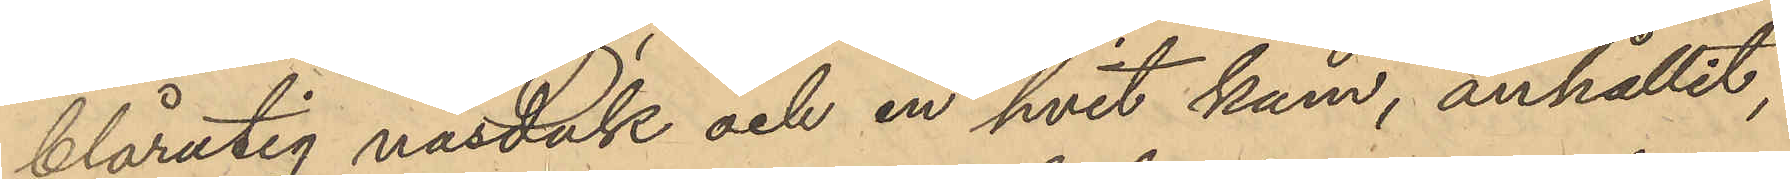blårutig näsduk och en hvit kam, anhållit,
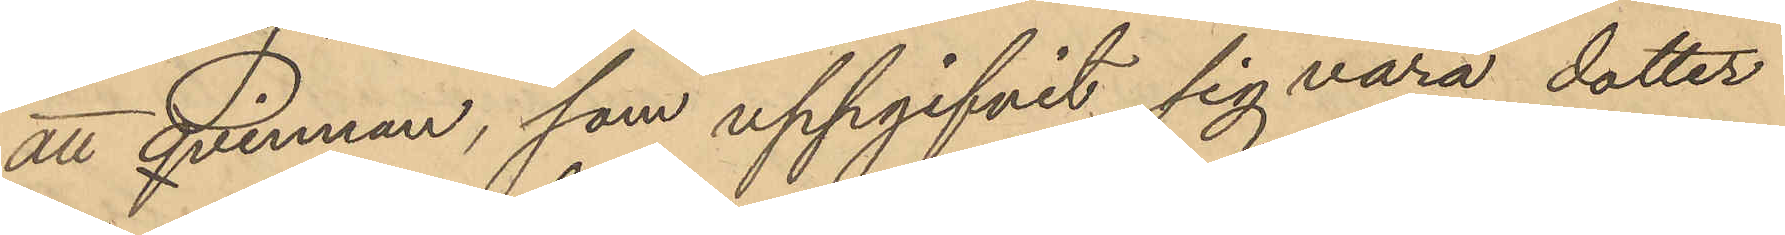att Qvinnan, som uppgifvit sig vara dotter
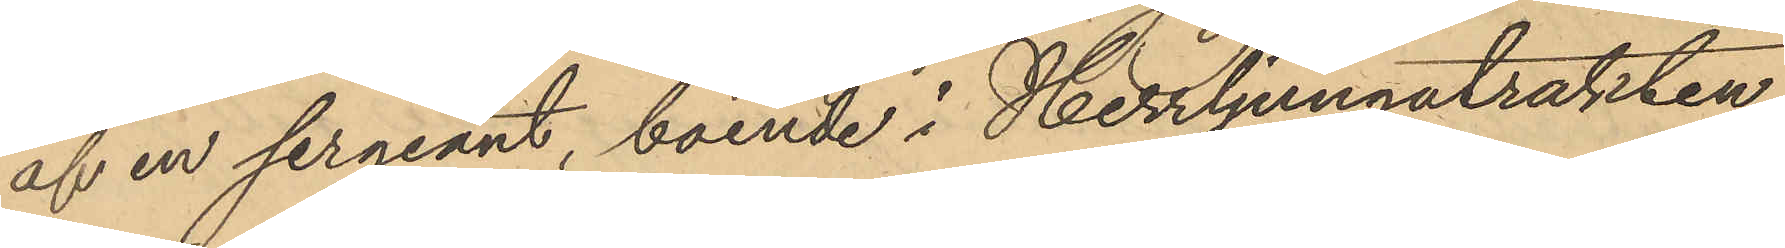af en sergeant, boende i Herrljungatrakten
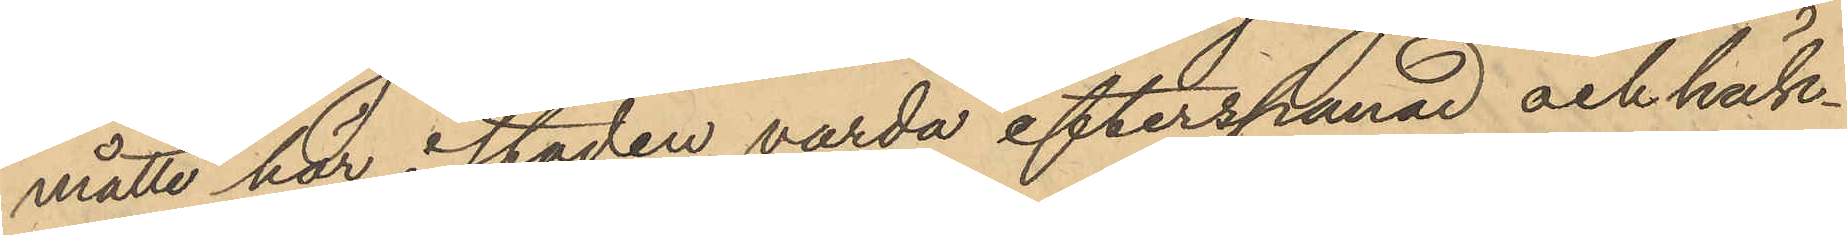måtte här i staden varda efterspanad och häk¬
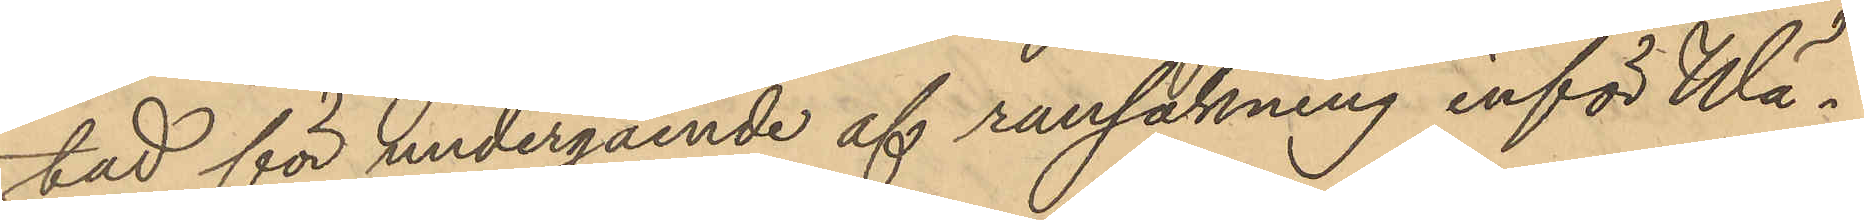tad för undergående af ransakning inför Wäne 
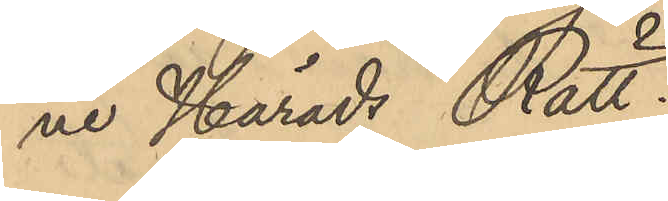 Härads Rätt.
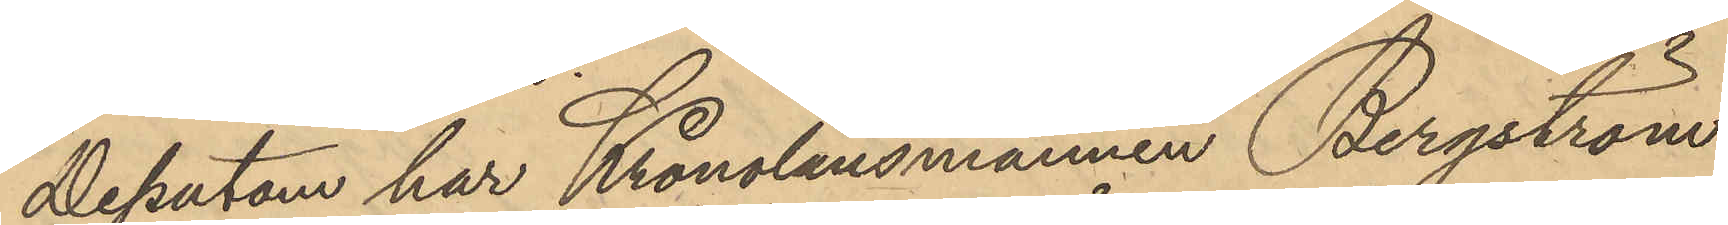Dessutom har Kronolänsmannen Bergström
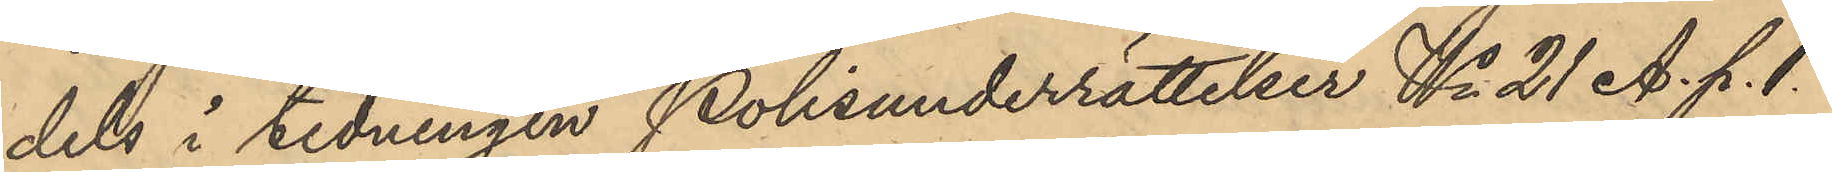dels i tidningen Polisunderrättelser No 21 A. p.1.
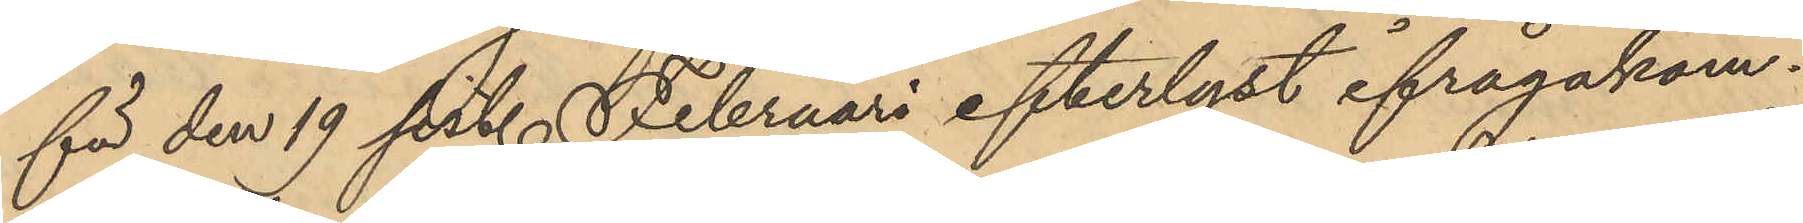för den 19 sist. Februari efterlyst ifrågakom¬
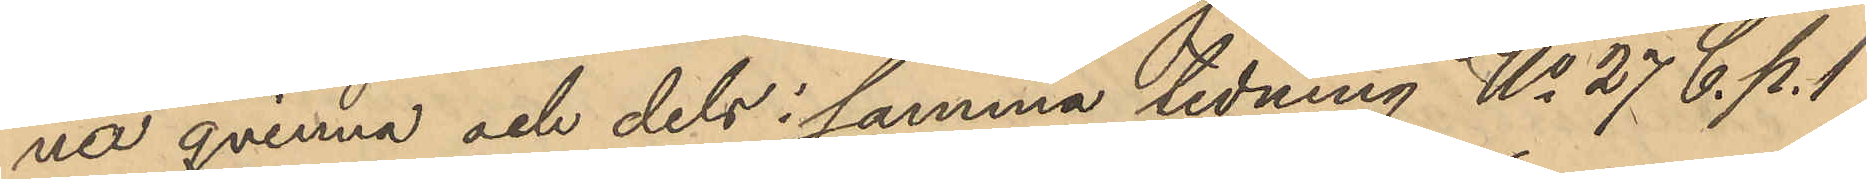na qvinna och dels i samma tidning No 27 C. p. 1
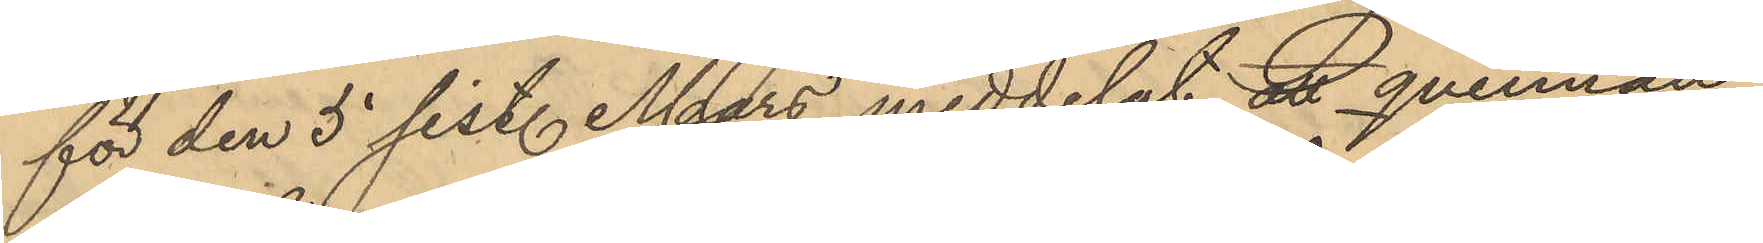för den 5 sist. Mars meddelat att qvinnan
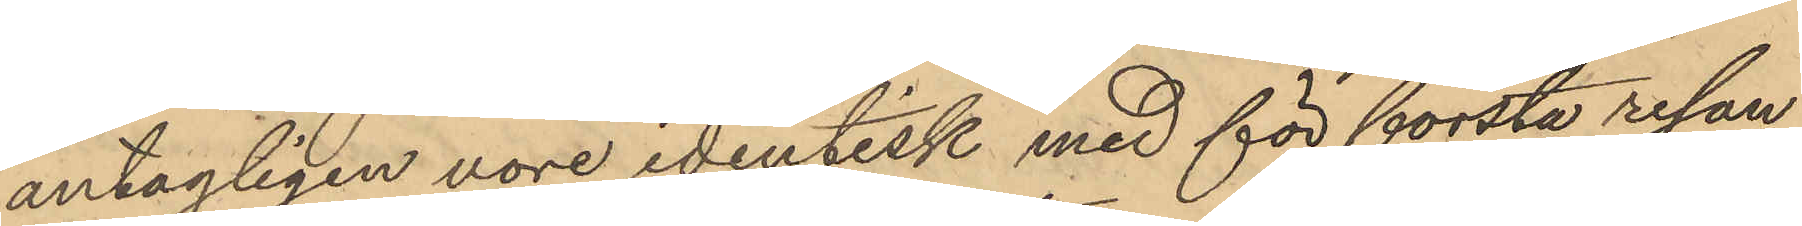antagligen vore identisk med för första resan
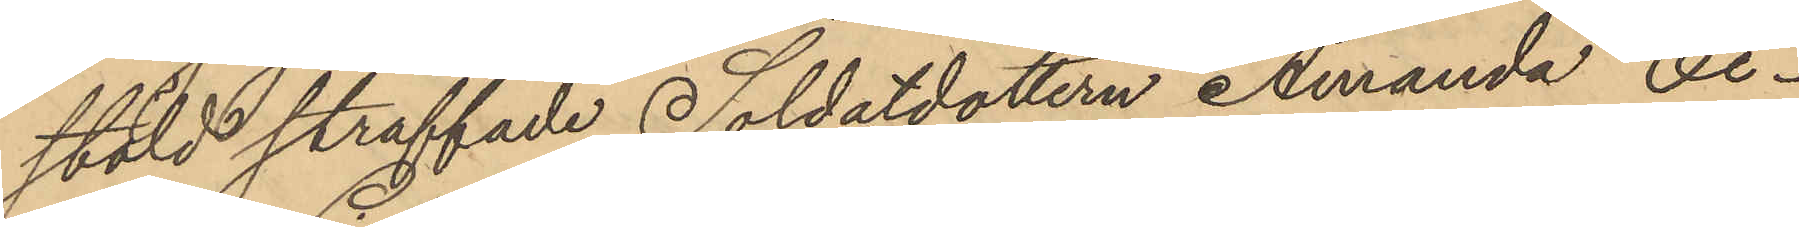stöld straffade Soldatdottern Amanda Ci¬
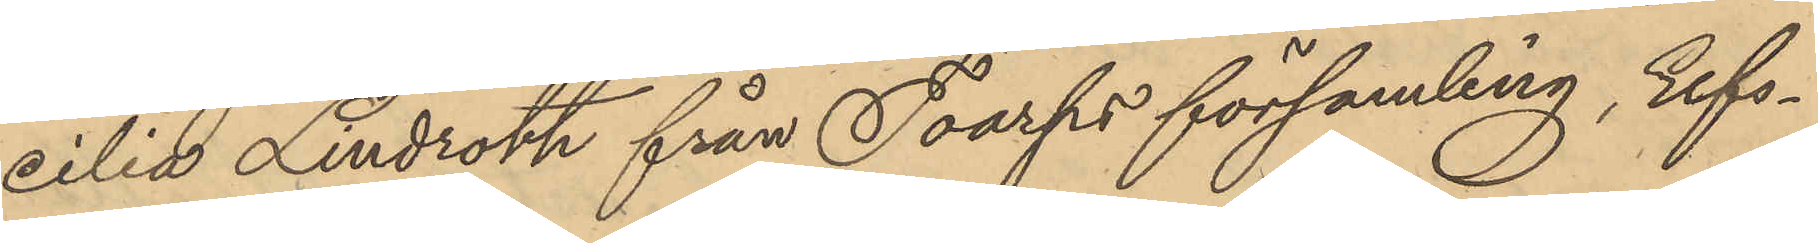cilia Lindroth från Toarps församling, Elfs¬
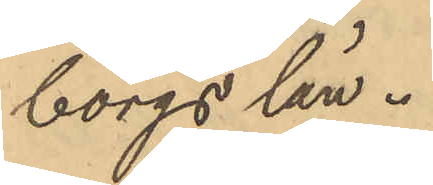borgs län.
